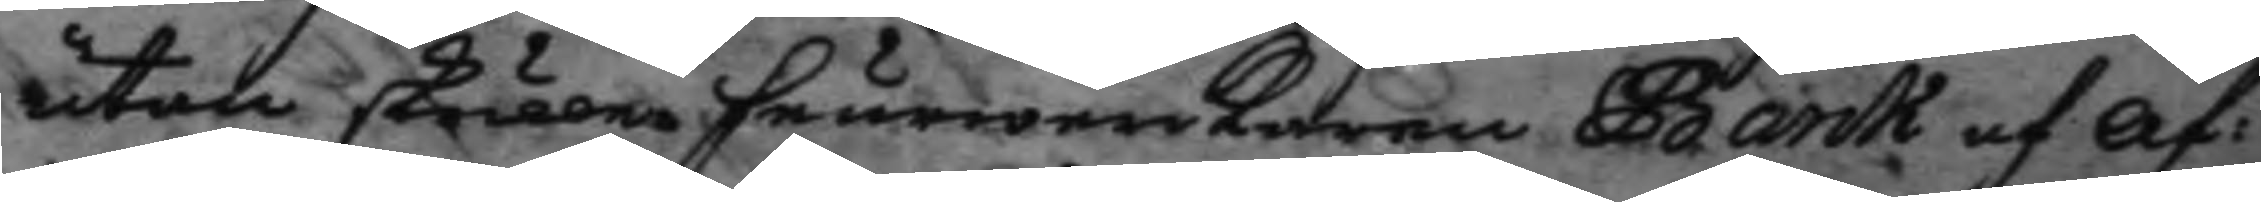utan skulle feurwerkaren Barck af af¬
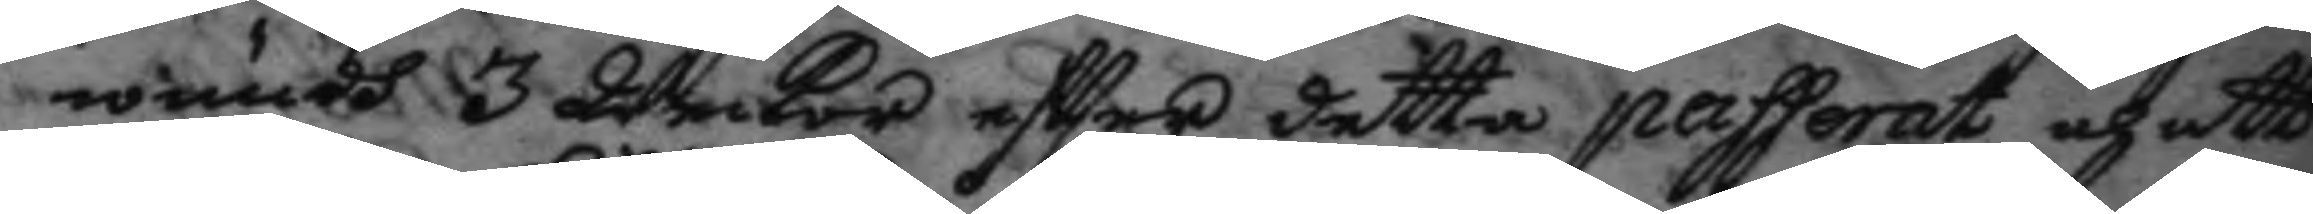wundh 3 weckor eftter detta passerat och att
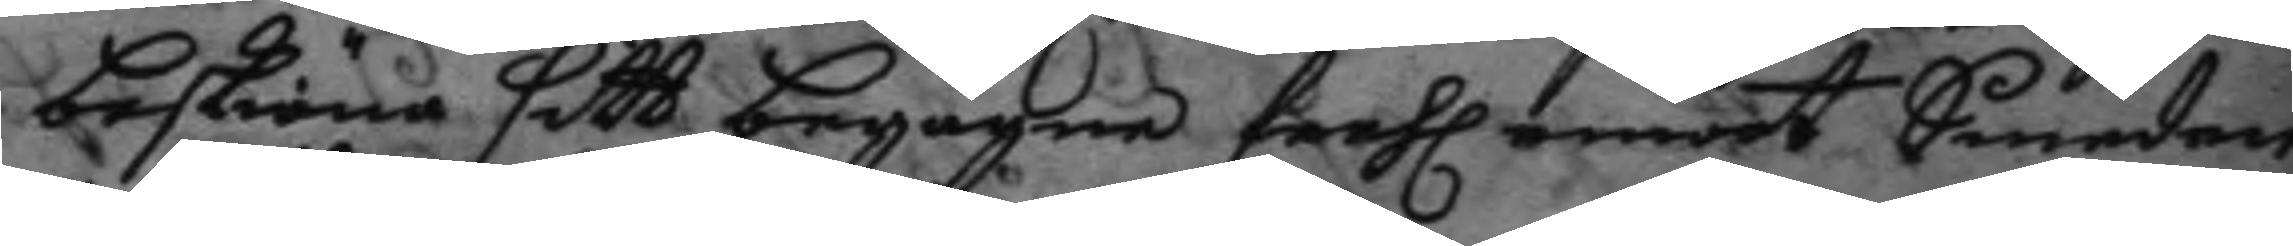beskiäna sitt begågne feehl emoot Smeden
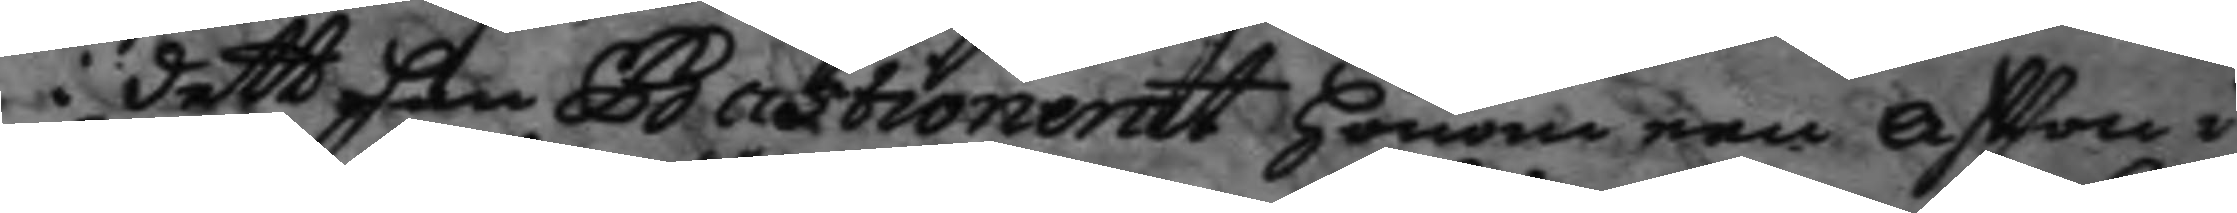i dett han Bastioneret honom een aftton i
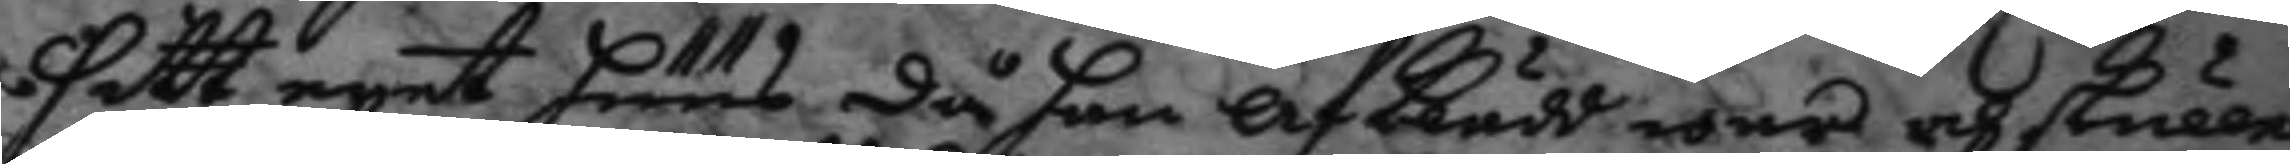sitt eget hens då han af klädd war och skulle
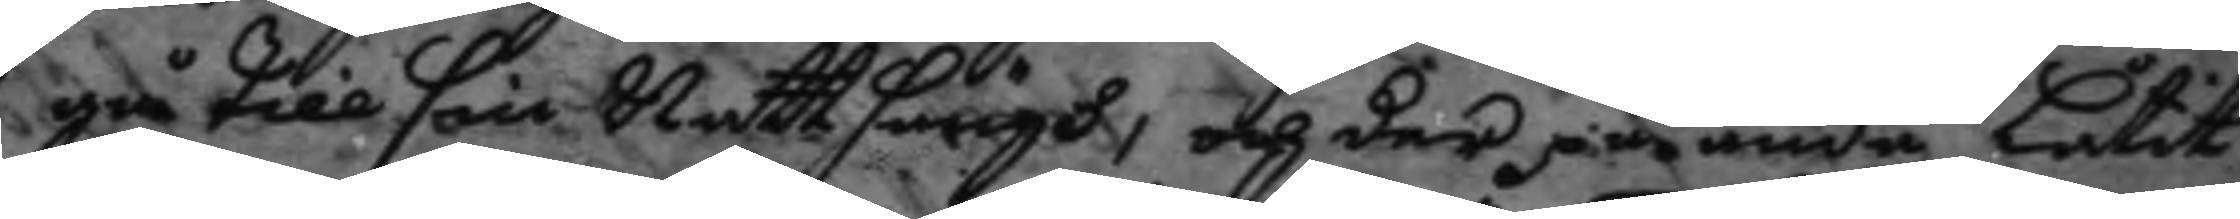gå till sin Nattsängh, och der på ändå låtit
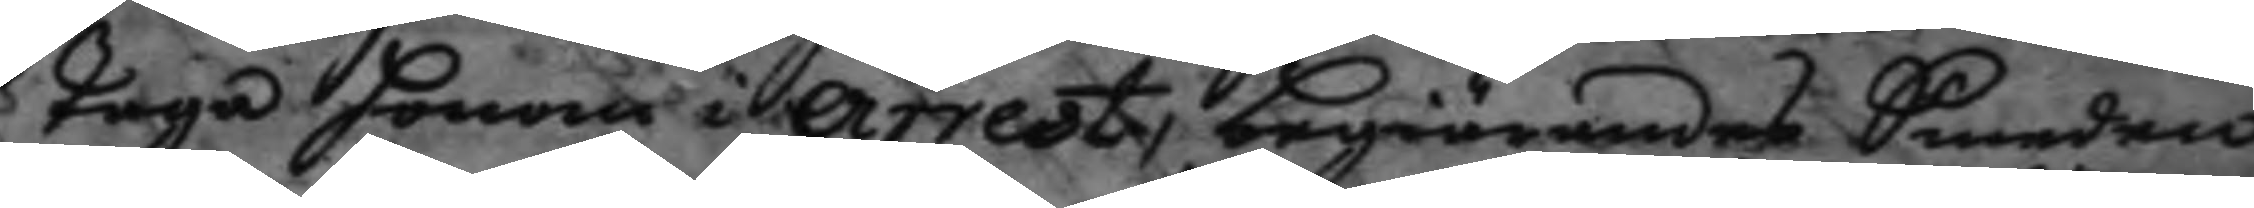taga honom i arrest, begiärandes Smeden,
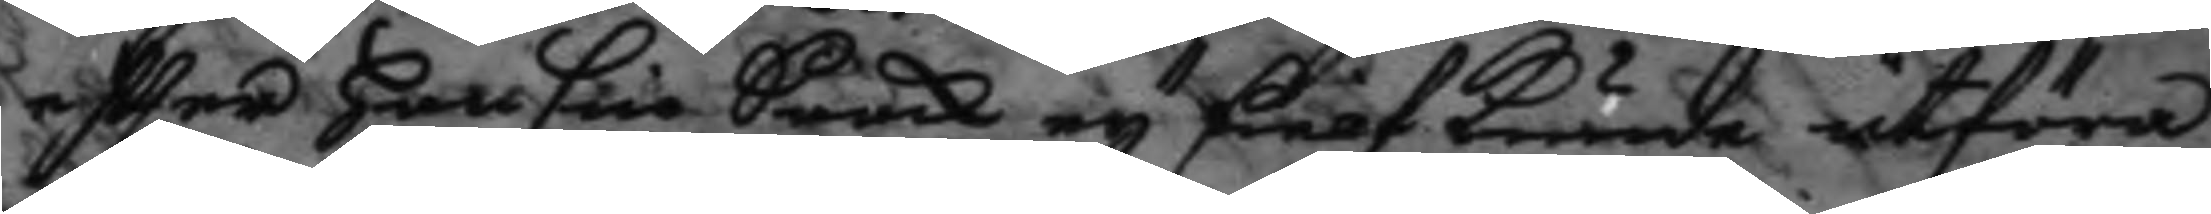eftter han sin Saack ey sielf kunde utföra
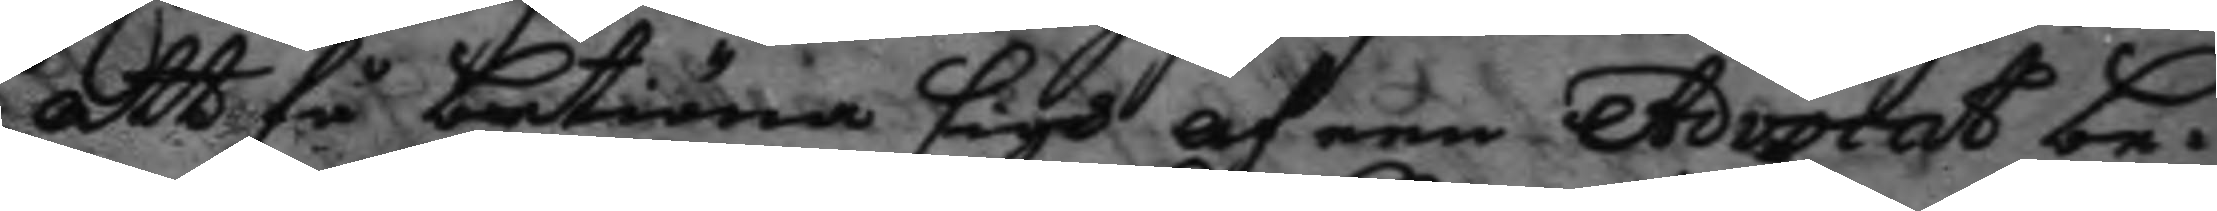att få betiäna sigh af een Advocat be¬
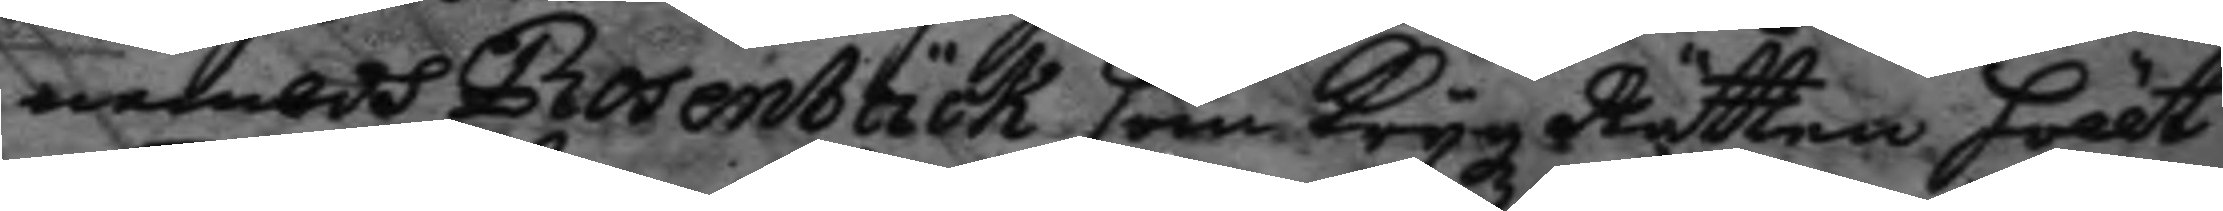nembdh Rosenbäck som Krygz Rätten höllt
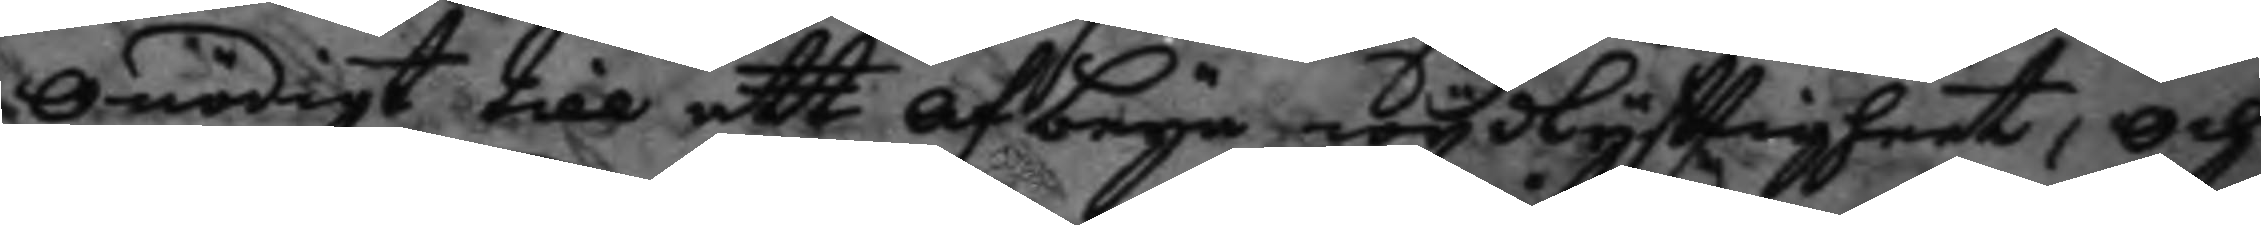onödigt till att af beya wydlyfttigheet, och
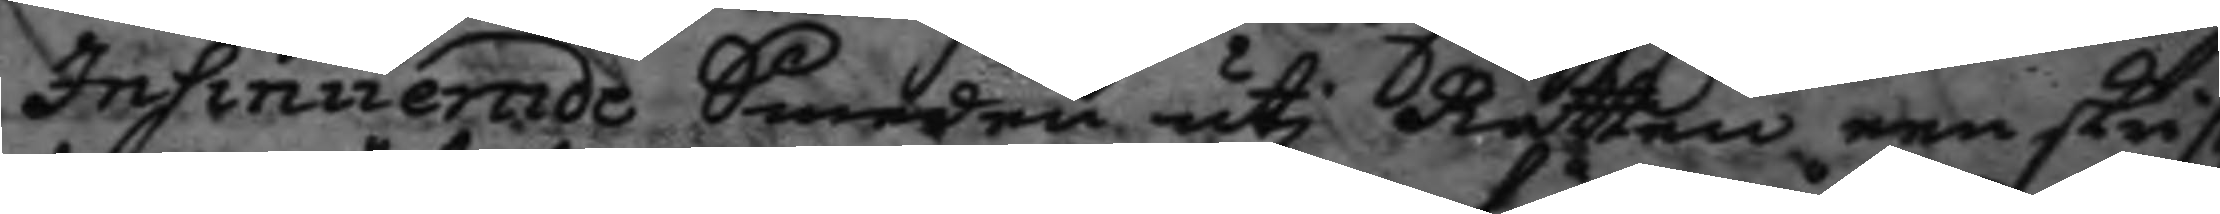Insinuerade Smeden uti Rätten een skrift
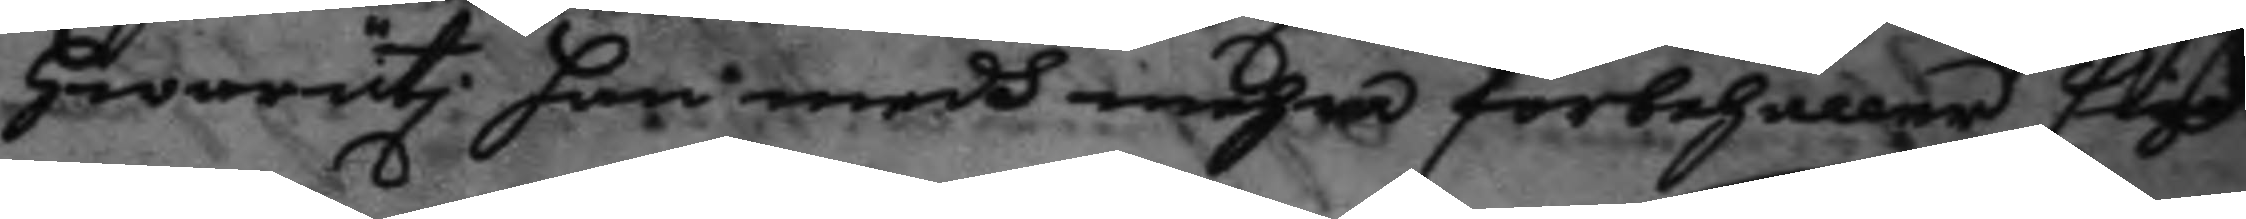hwaruthi han medh mehra förbehåller sigh
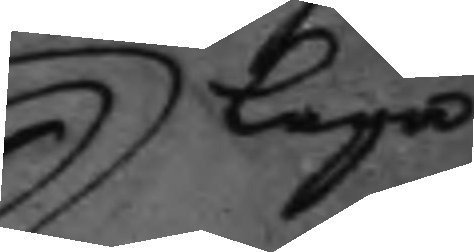laga
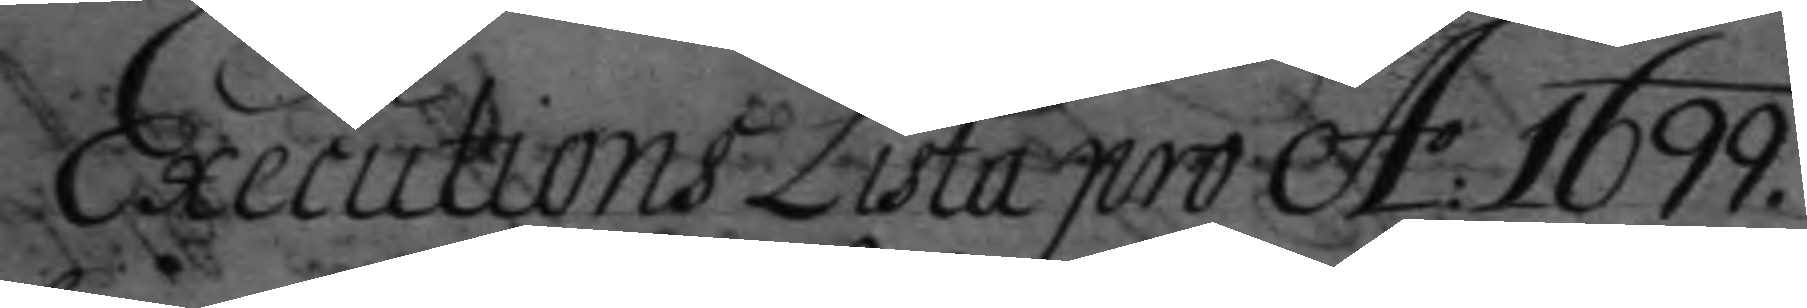Executions Lista pro A: 1699.
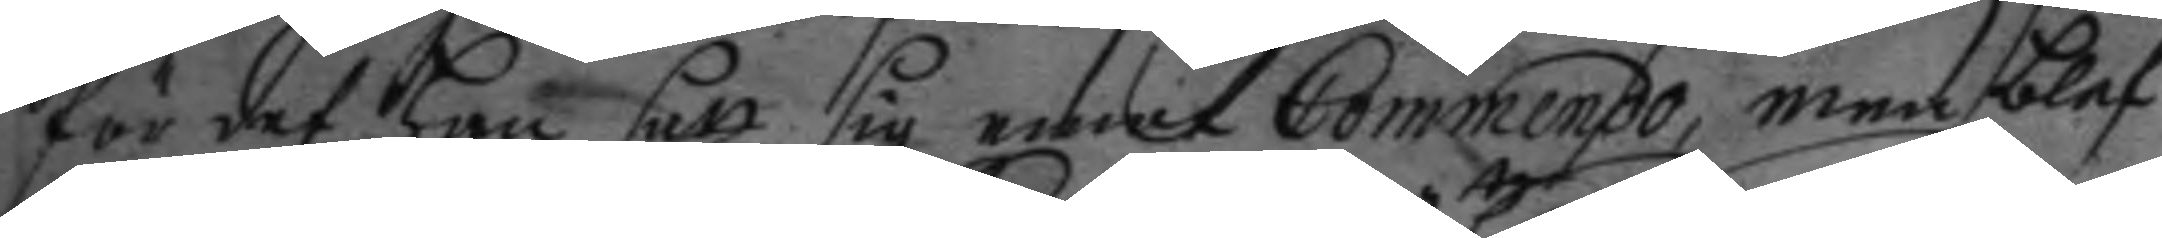för det han satt sig emot Commendo, men blef
